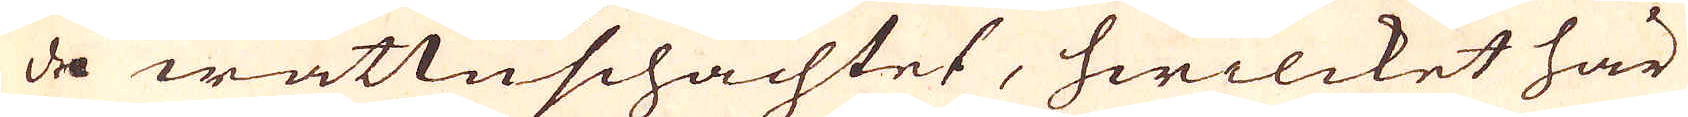de wattnschachtet, hwilcket här
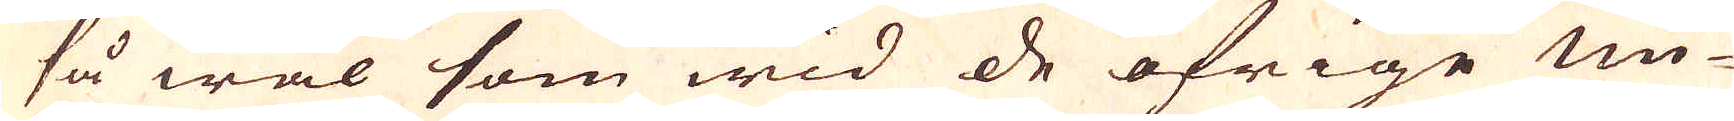så wäl som wid de öfrige un-
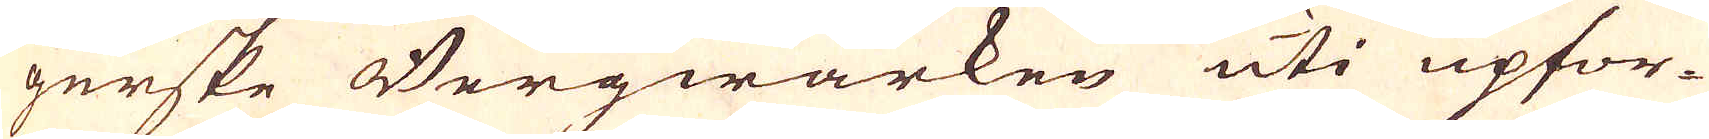gerske Bergwärken uti upfor-
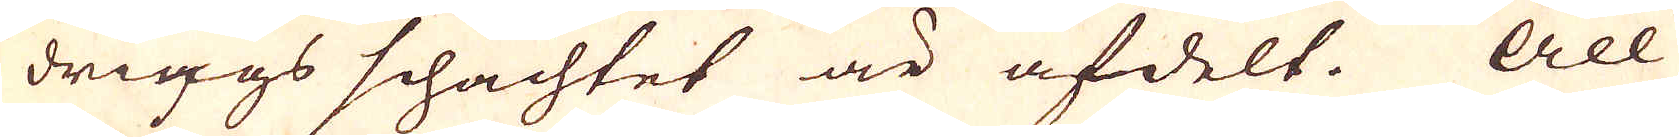drings schachtet är afdelt. All
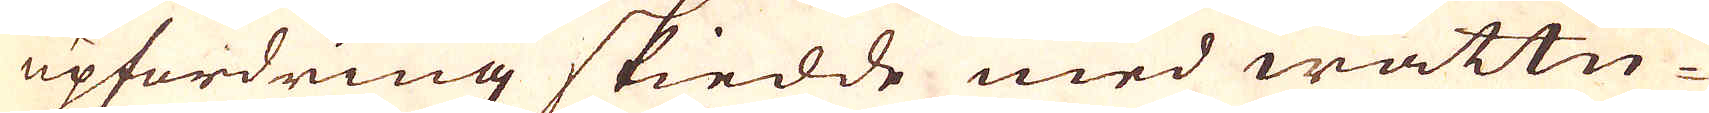upfordring skiedde med wattn-
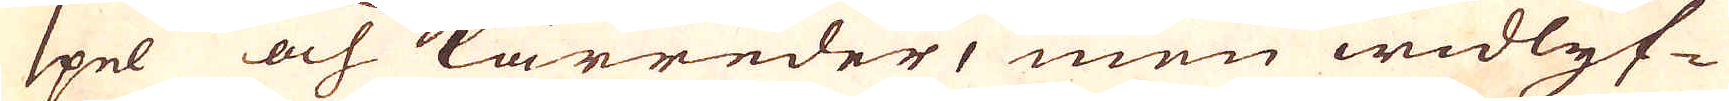spel och kärreder, men widlyf-
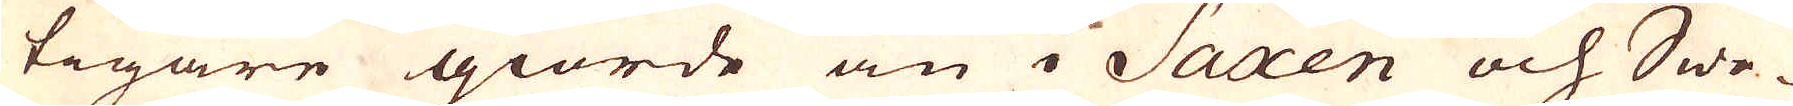tigare giorde än i Saxen och Swe-
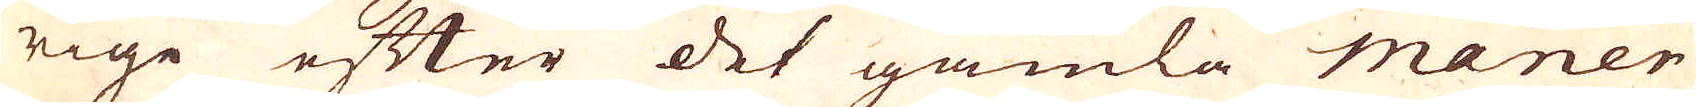rige efter det gamla maner
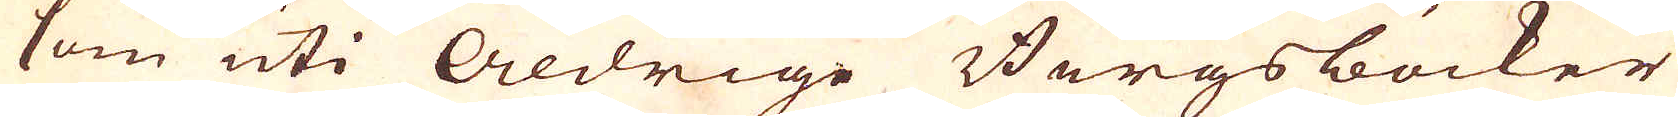som uti Åldrige Bergsböcker
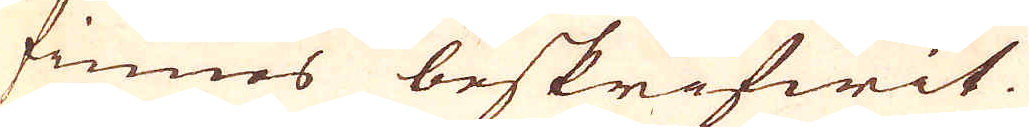finnos beskrifwit.
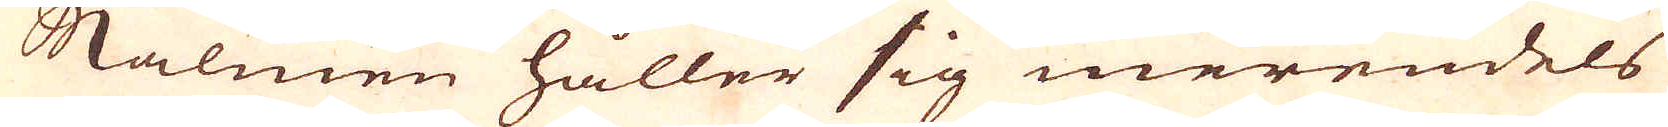Malmen håller sig merendels
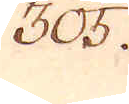305.
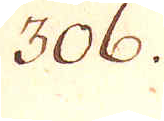306.
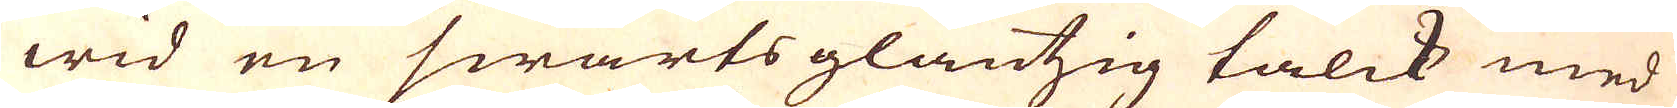wid en swartsglantzig talck med
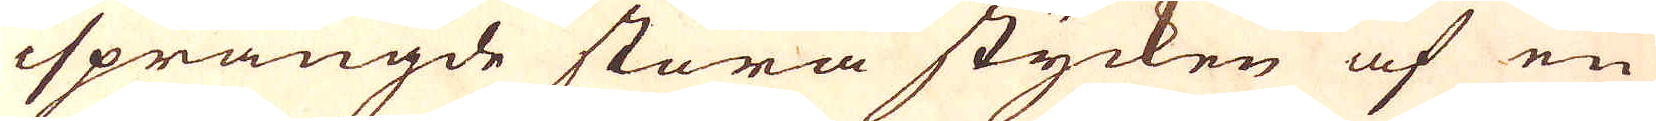isprängde stora stycken af en
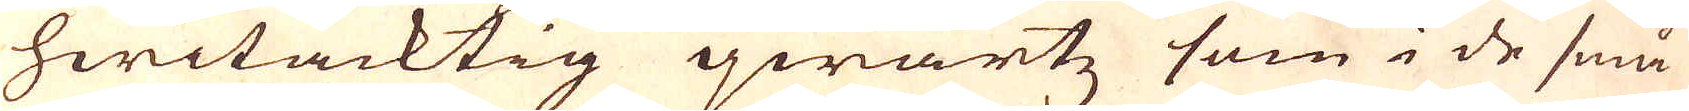hwitacktig qwartz som i de små
